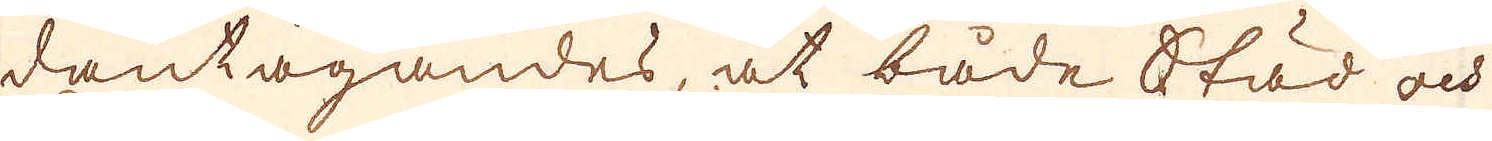dantagandes, at både Städ ock
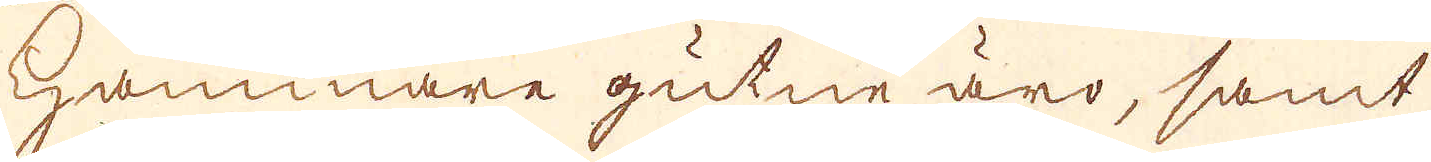hammare gutne äro, samt
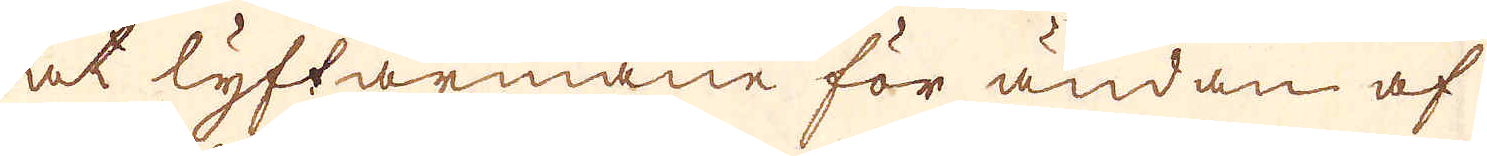et lyftarmane för ändan af
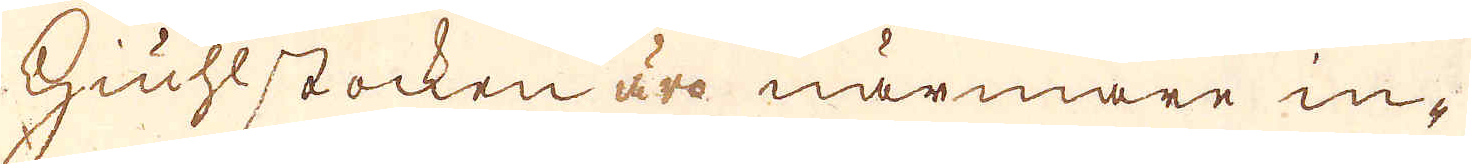Hiuhlstocken äro närmare in-
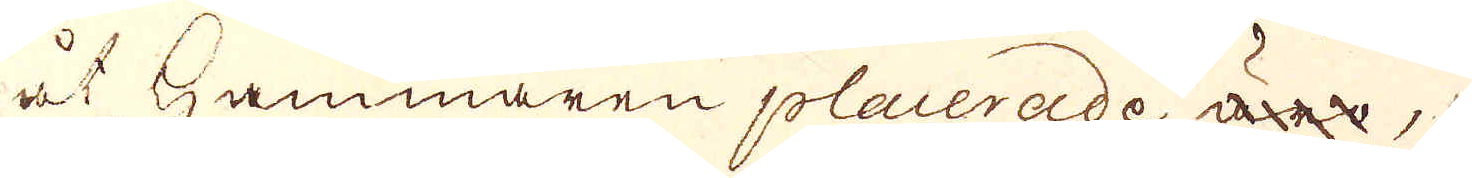åt Hammaren placerade äro,
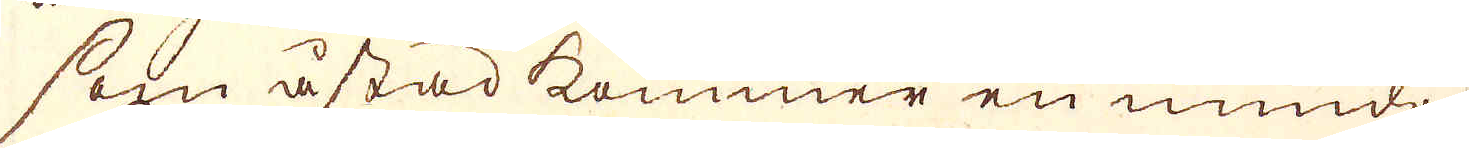som åstadkommer en mindre
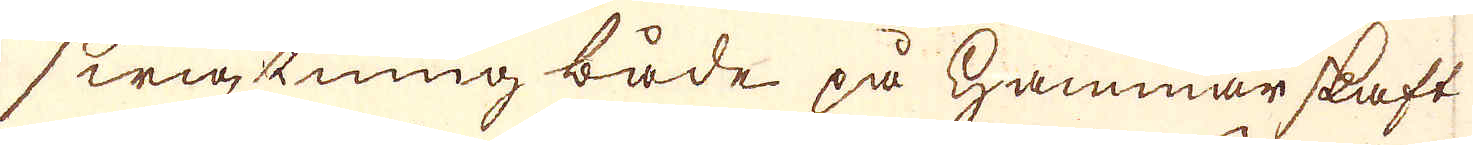swigtning både på Hammar skaft
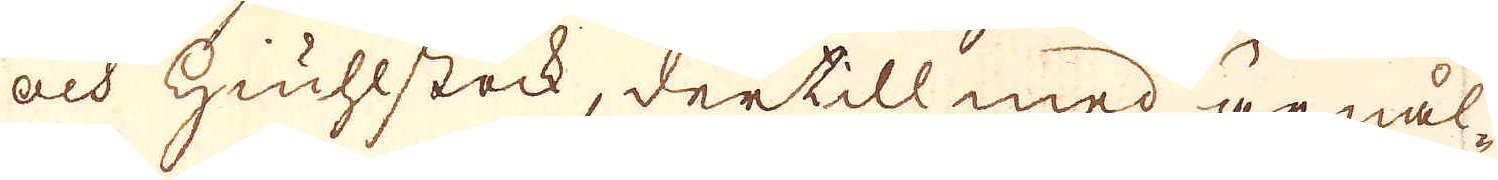och Hiuhlstock, dertill med är nål-
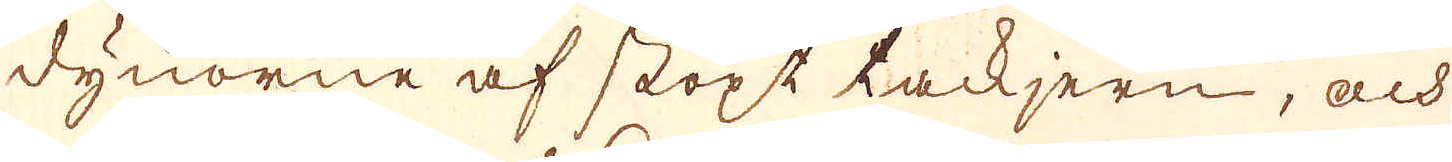dynorne af stöpt tackjern, och
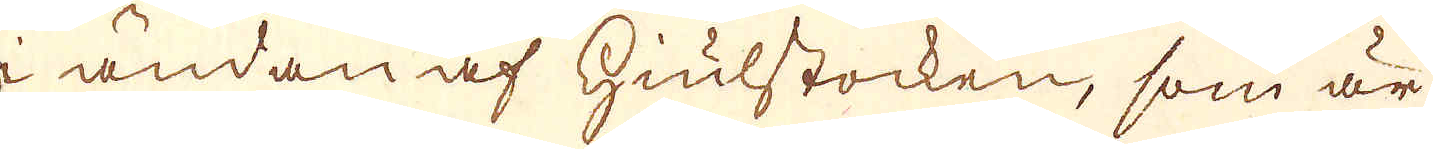i ändan af hiulstocken, som är
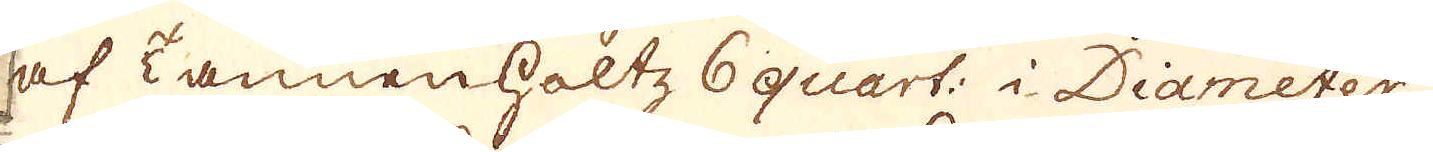af Tannenholtz 6 quart: i Diameter
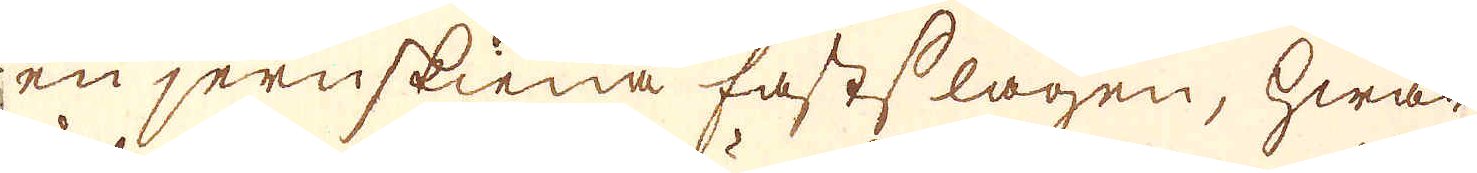en jernskiena fastslagen, hwar
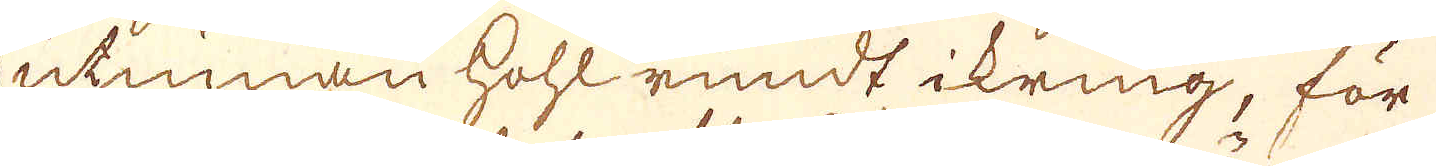utinnan kohl rundt ikring, för
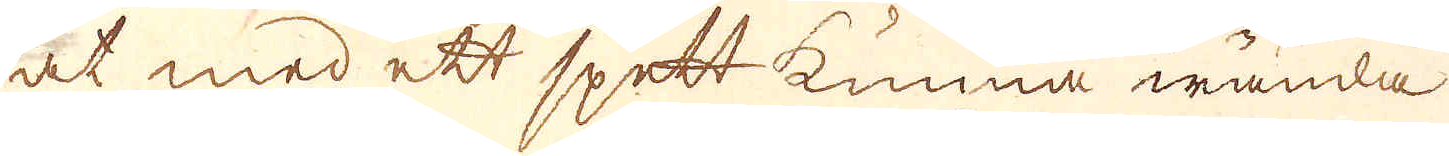at med ett spett kunna wända
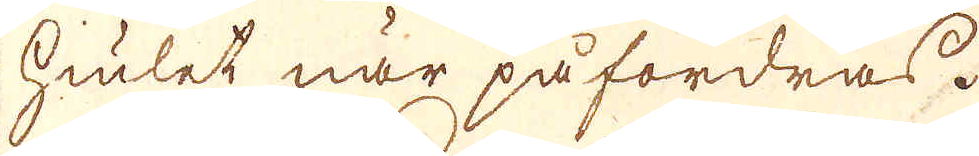hiulet när påfordras.
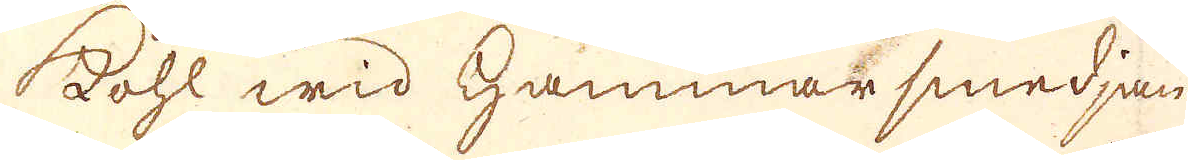Kohl wid Hammar smedjan
